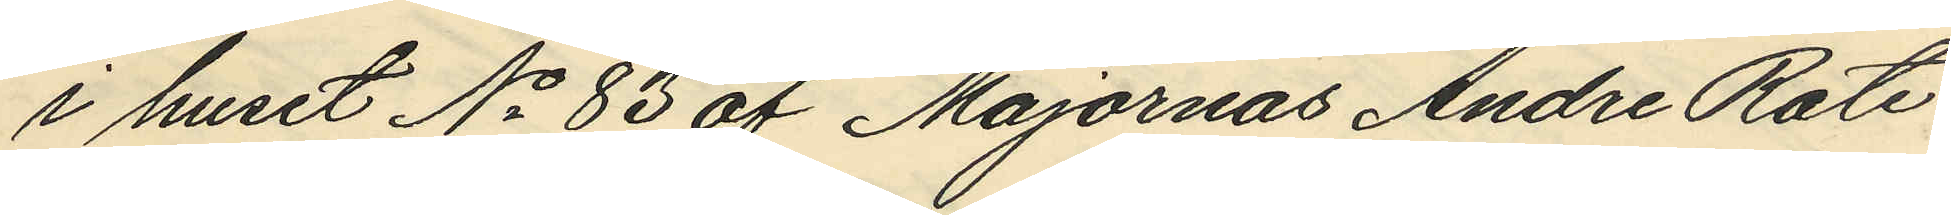i huset No 83 af Majornas Andre Rote
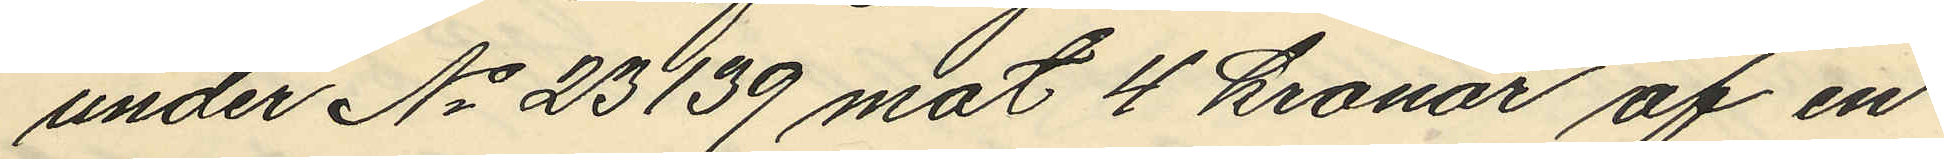under No 23139 mot 4 kronor af en
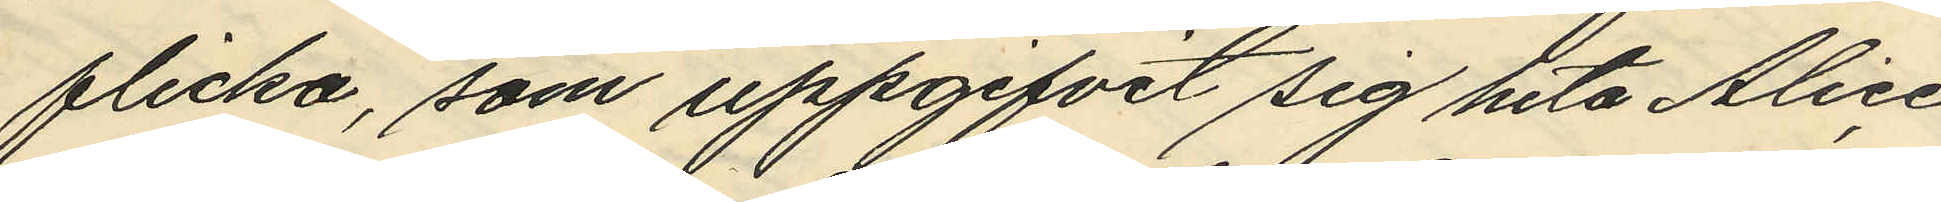flicka, som uppgifvit sig heta Alice
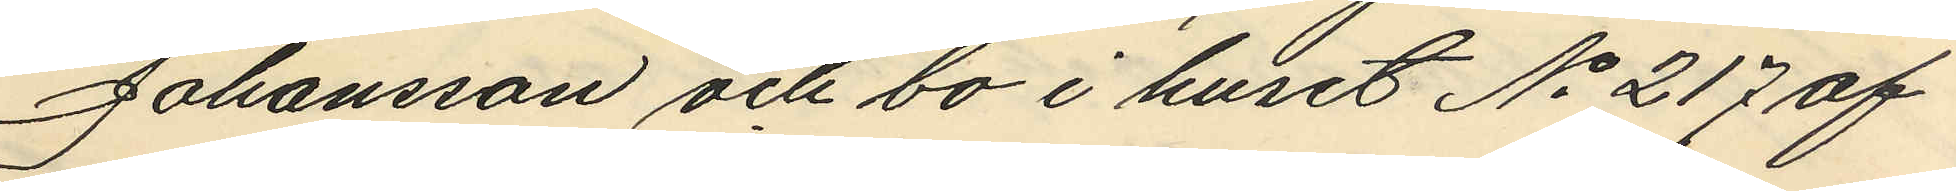Johansson och bo i huset No 217 af
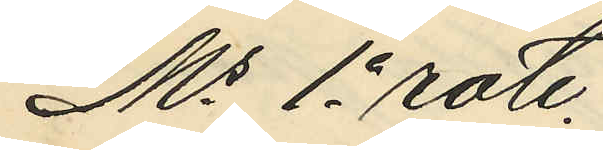Ms 1e rote.
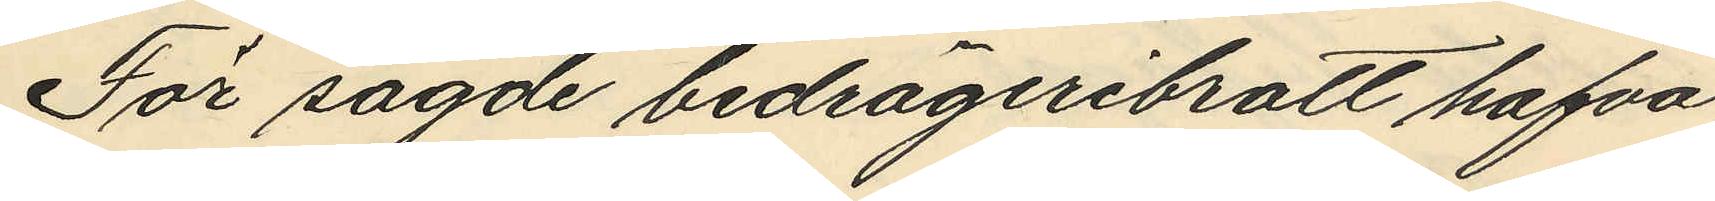För sagde bedrägeribrott hafva
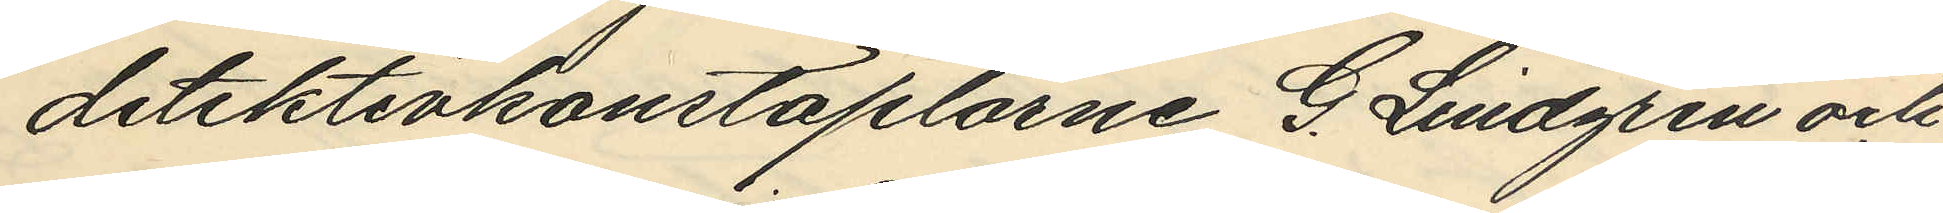detektivkonstaplarne G. Lindgren och
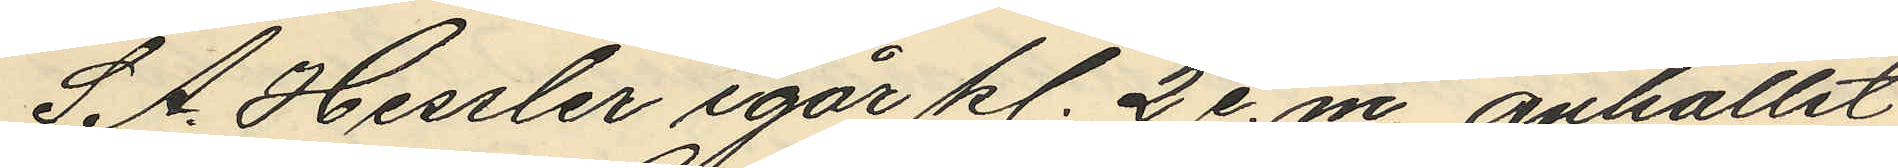S A. Hessler igår kl. 2 e.m. anhållit
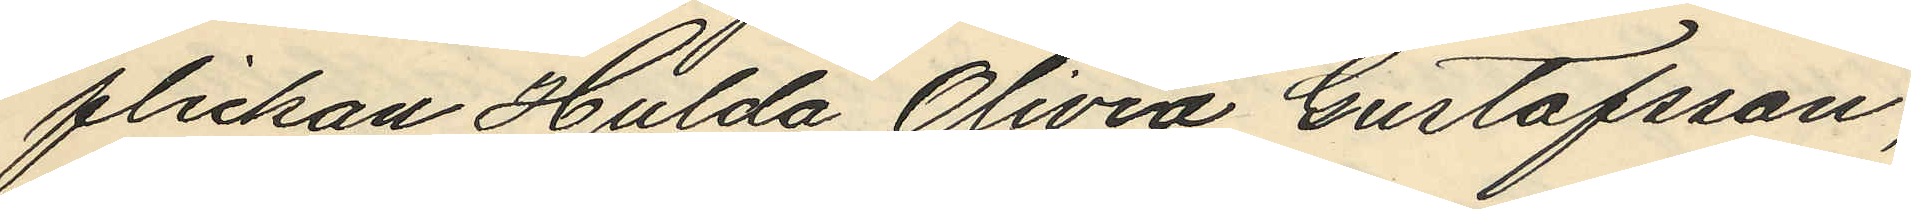flickan Hulda Olivia Gustafsson,
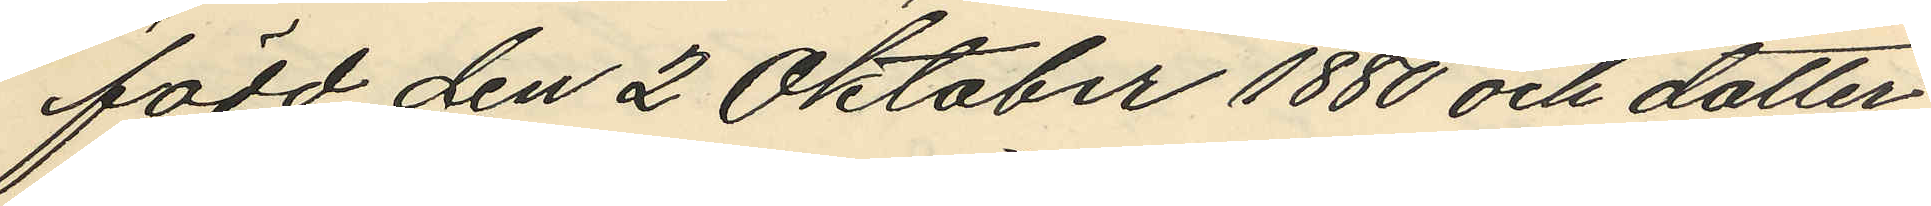född den 2 Oktober 1880 och dotter
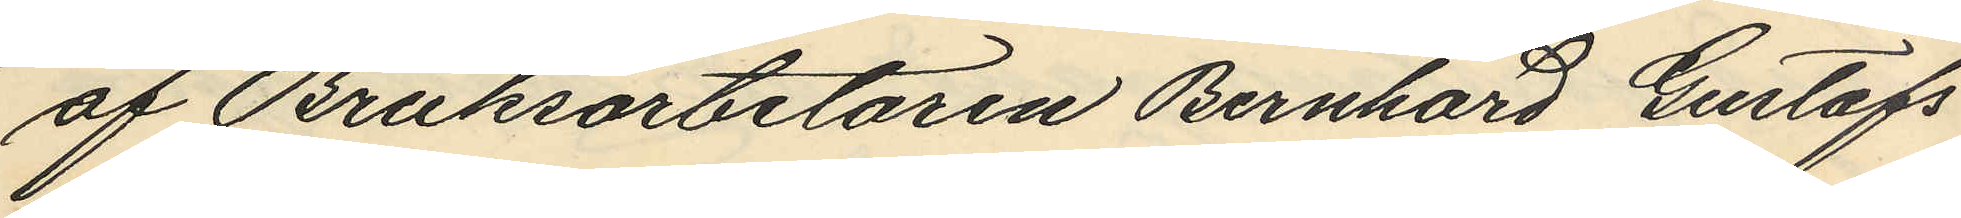af Bruksarbetaren Bernhard Gustafs
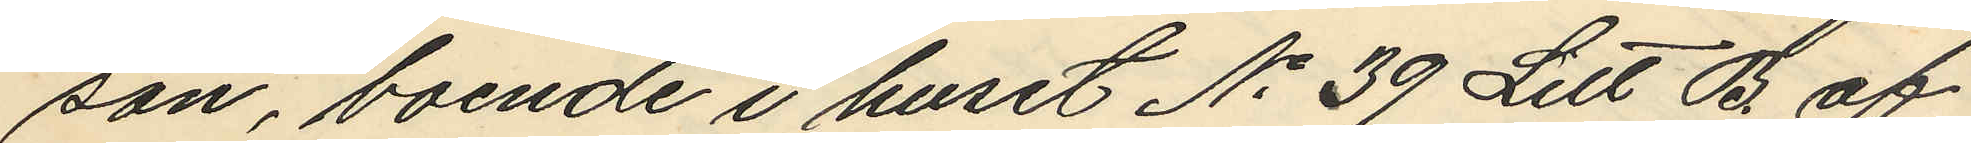son, boende i huset No 39 Litt B. af
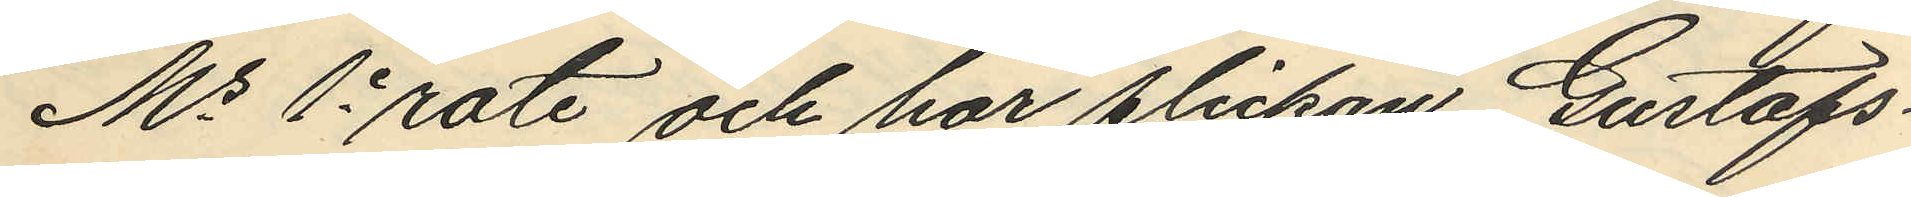Ms 1e rote och har flickan Gustafs¬
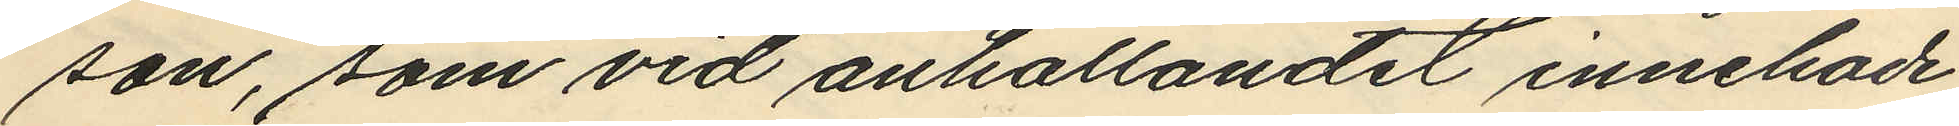son, som vid anhållandet innehade
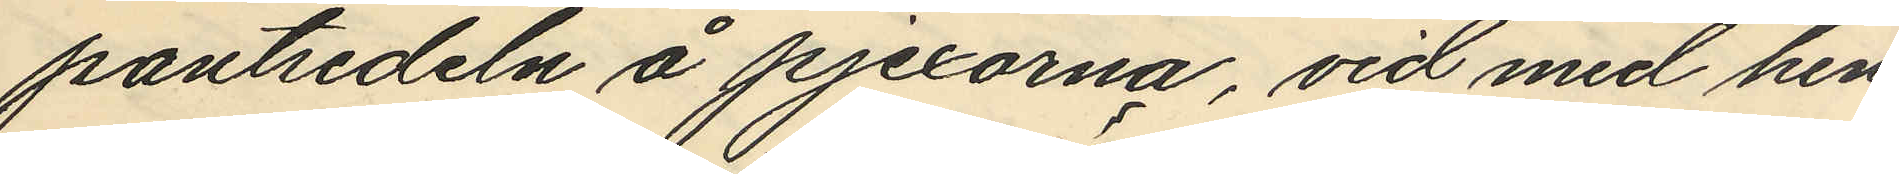pantsedeln å pjexorna, vid med hen¬
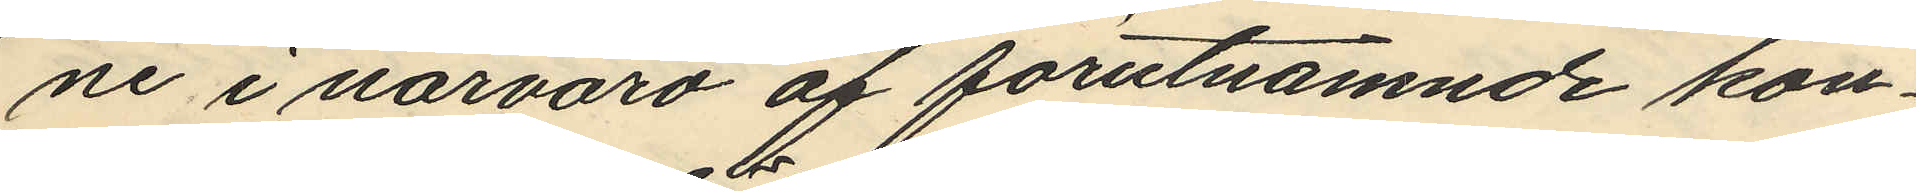ne i närvaro af förutnämnde kon¬
